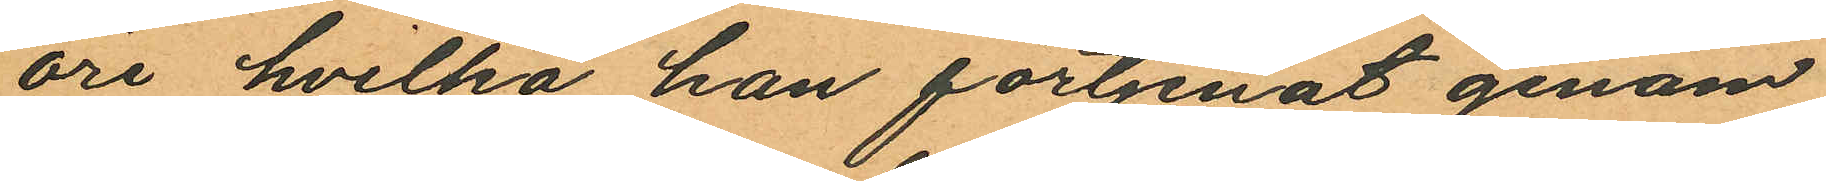öre hvilka han förtjenat genom
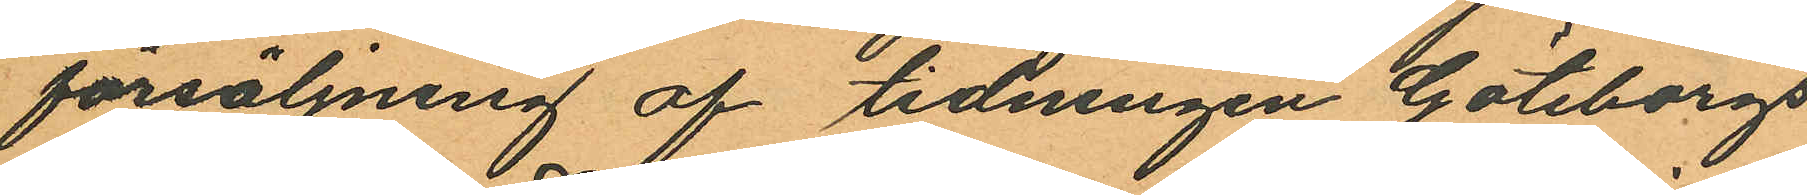försäljning af tidningen "Göteborgs
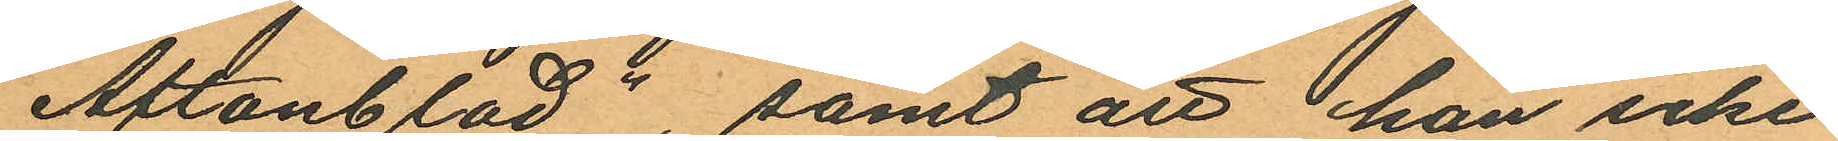Aftonblad", samt att han icke
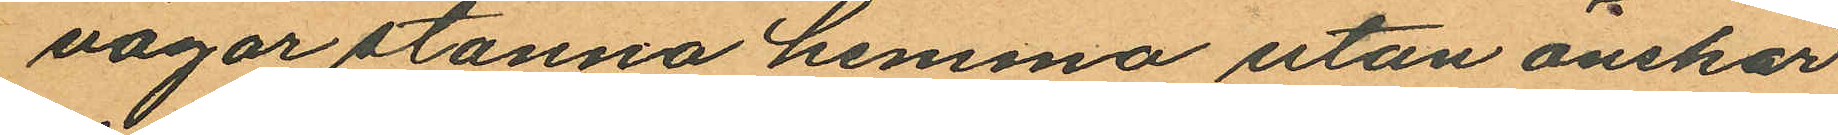vågar stanna hemma utan önskar
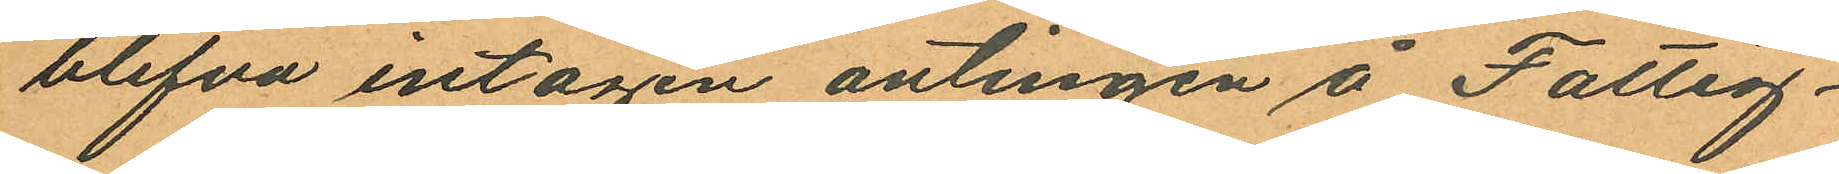blifva intagen antingen å Fattig¬
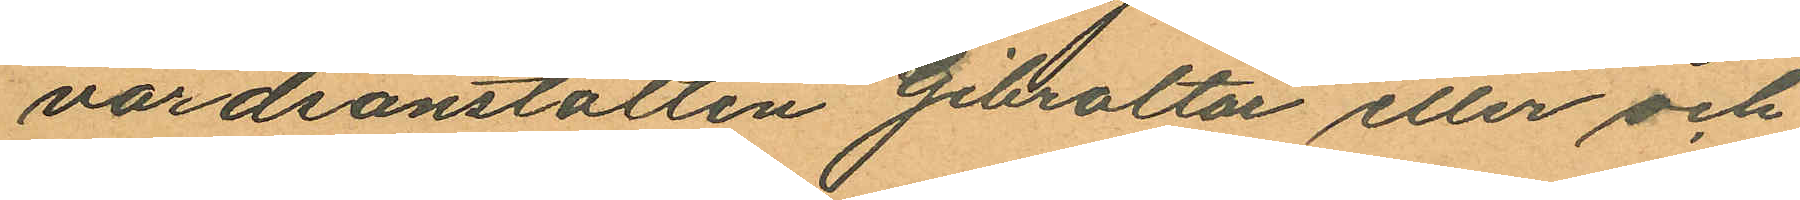vårdsanstalten Gibraltar eller och
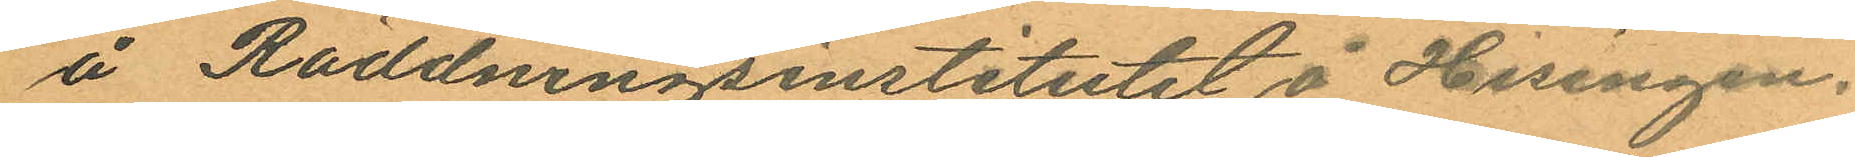å Räddningsinstitutet å Hisingen.
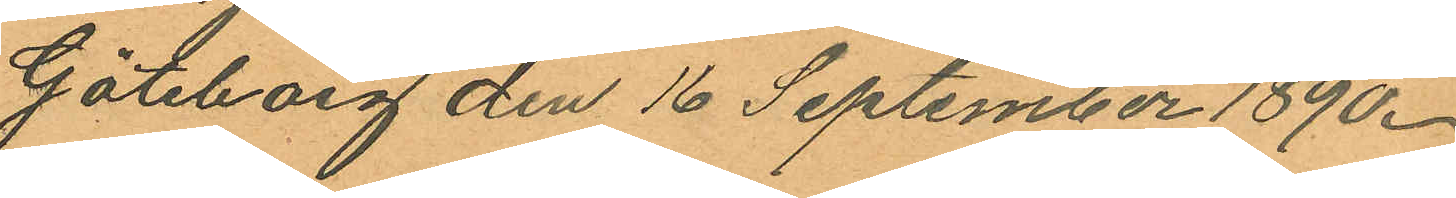Göteborg den 16 September 1890.
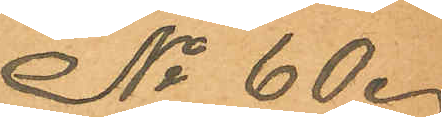No 60.
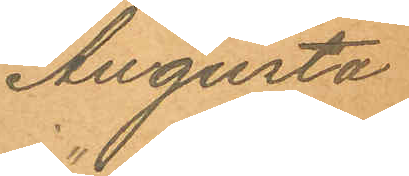Augusta
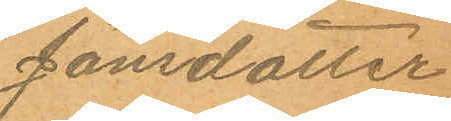Jönsdotter
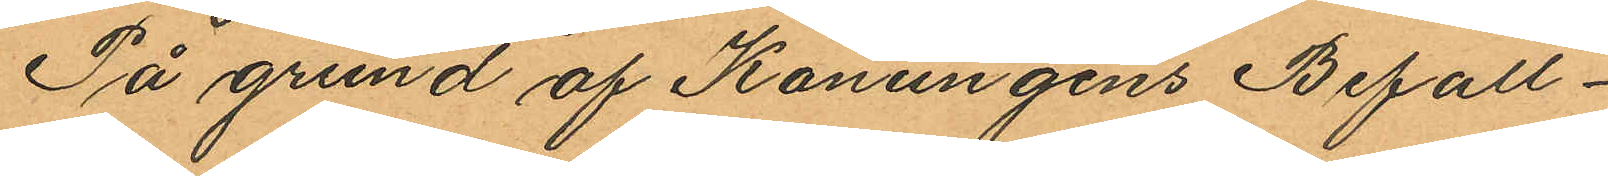På grund af Konungens Befall¬
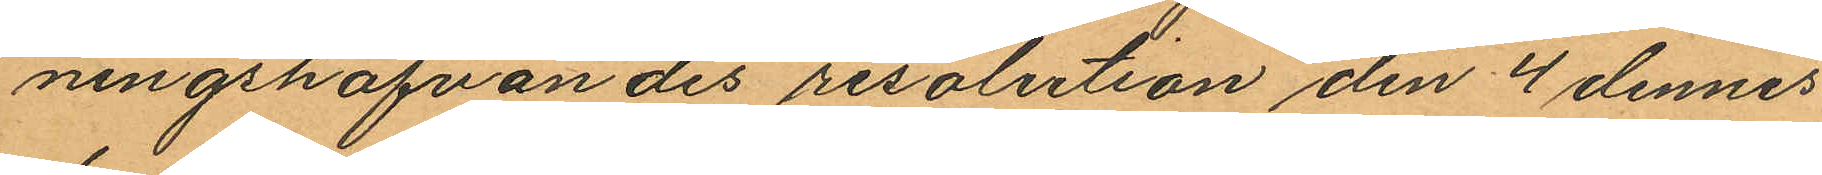ningshafvandes resolution den 4 dennes
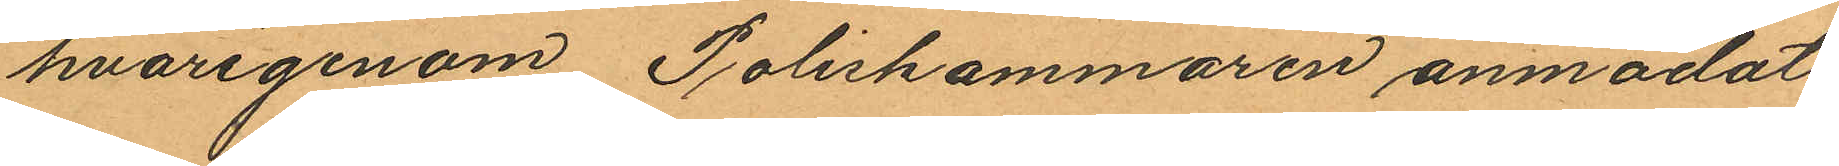hvarigenom Poliskammaren anmodats
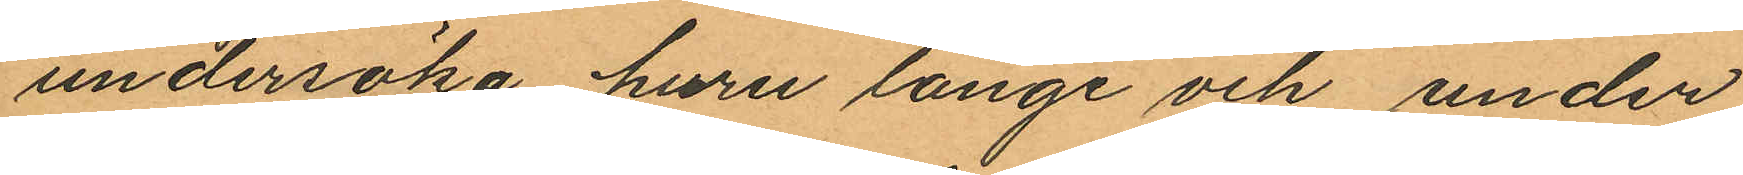undersöka huru länge och under
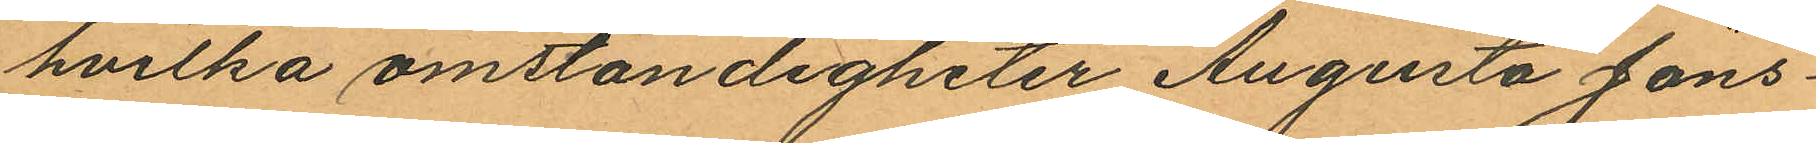hvilka omständigheter Augusta Jöns¬
